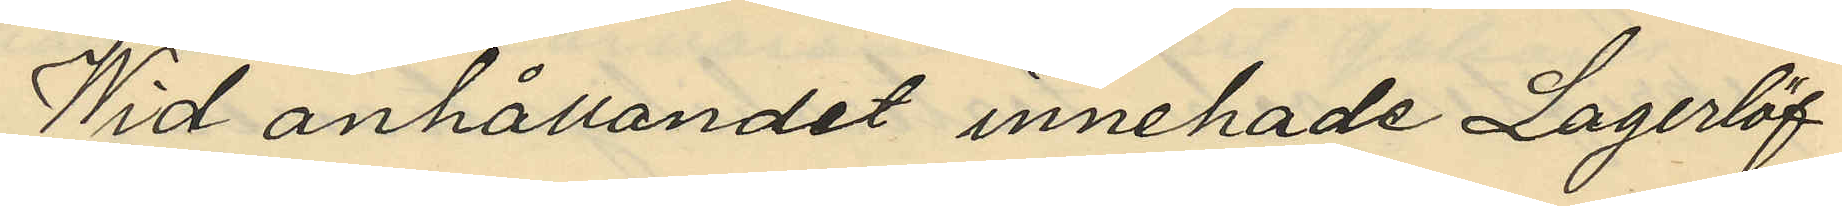Wid anhållandet innehade Lagerlöf
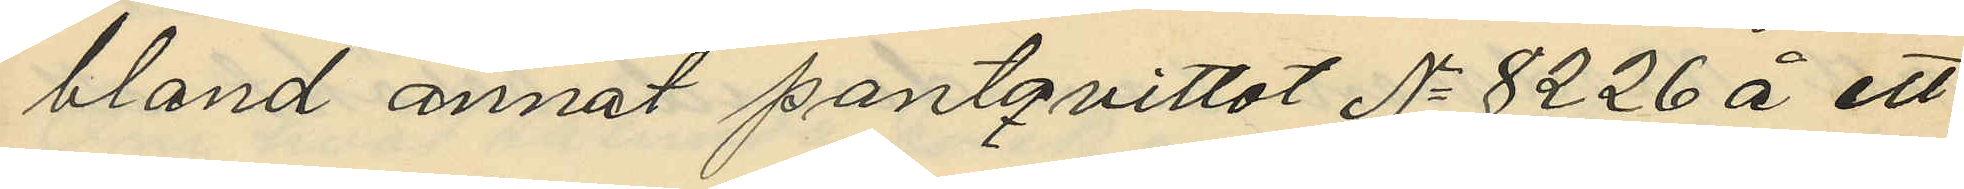bland annat pantqvittot No 8226 å ett
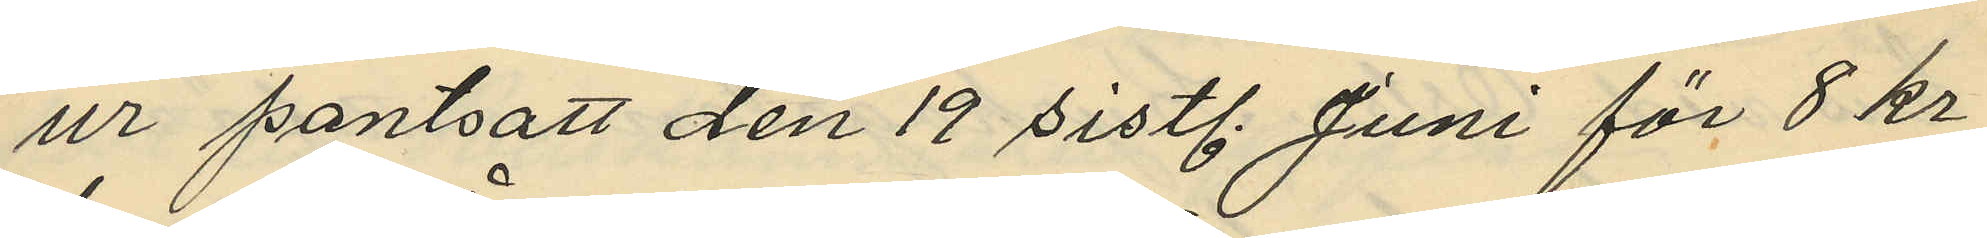ur pantsatt den 19 sistl. Juni för 8 kr
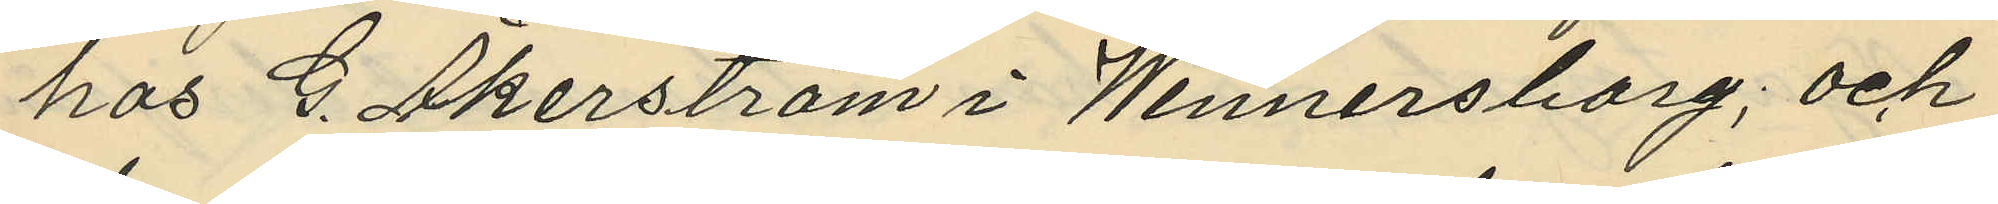hos G. Åkerström i Wennersborg; och
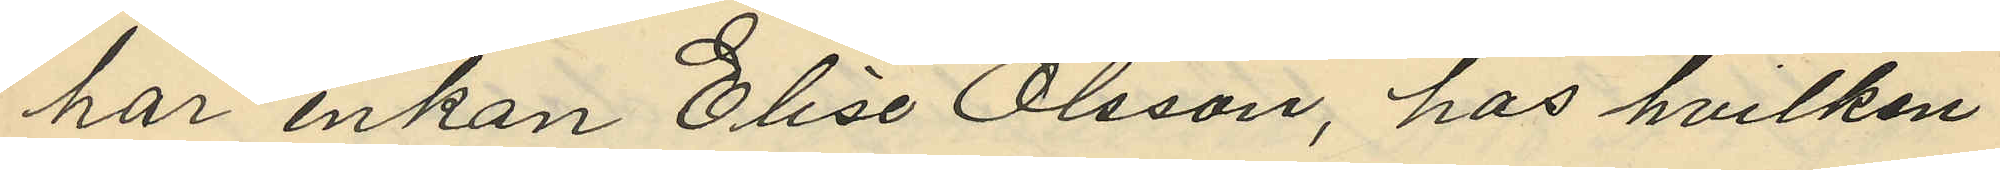har enkan Elise Olsson, hos hvilken
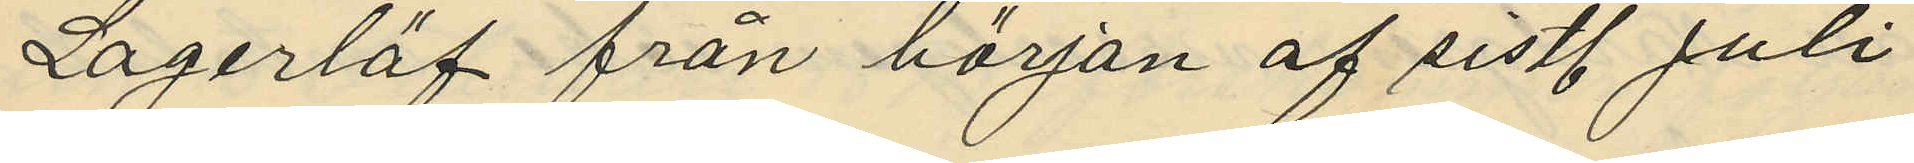Lagerlöf från början af sistl. Juli
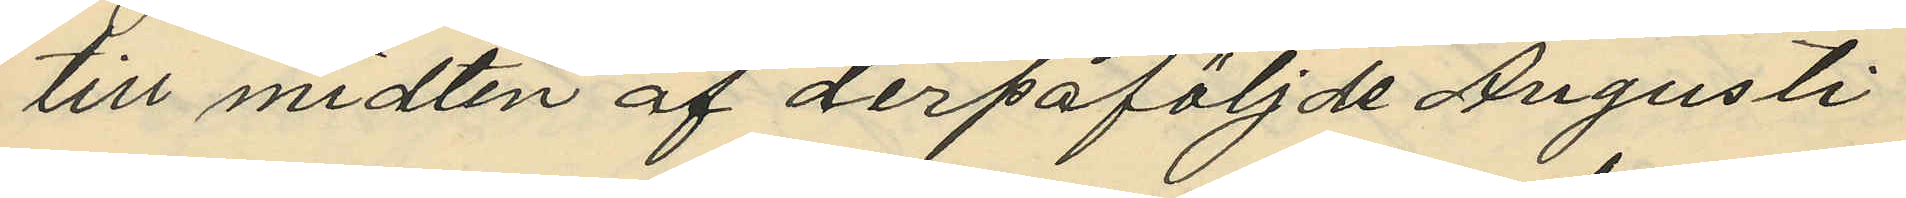till midten af derpåföljde Augusti
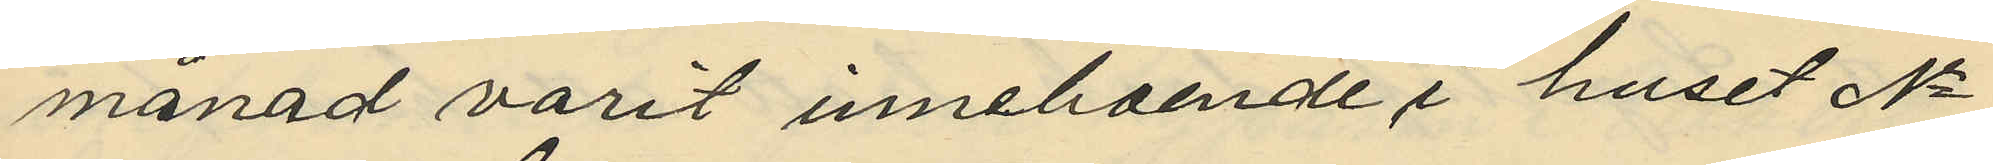månad varit inneboende i huset No
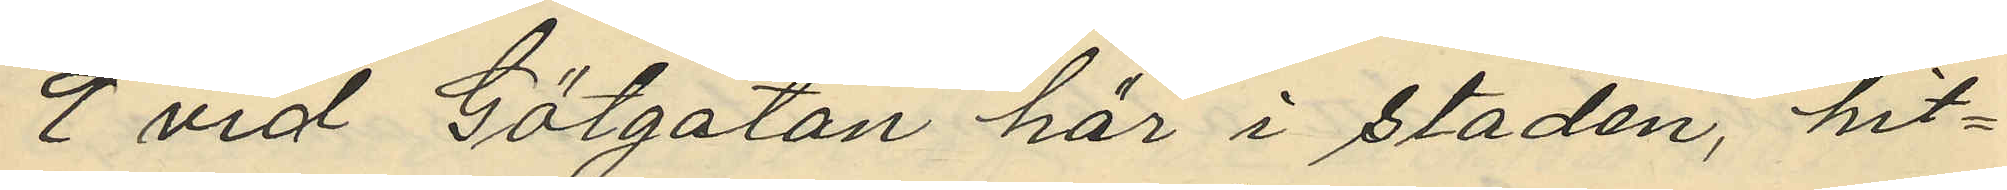9 vid Götgatan här i staden, hit¬
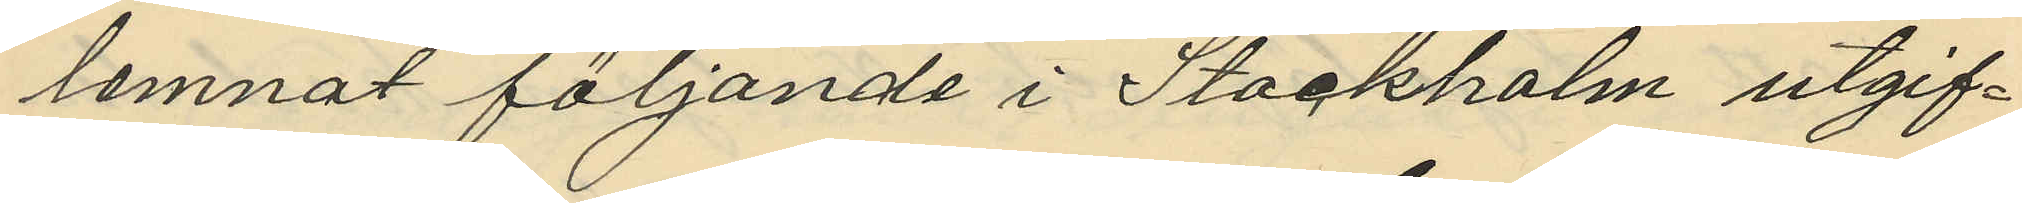lemnat följande i Stockholm utgif¬
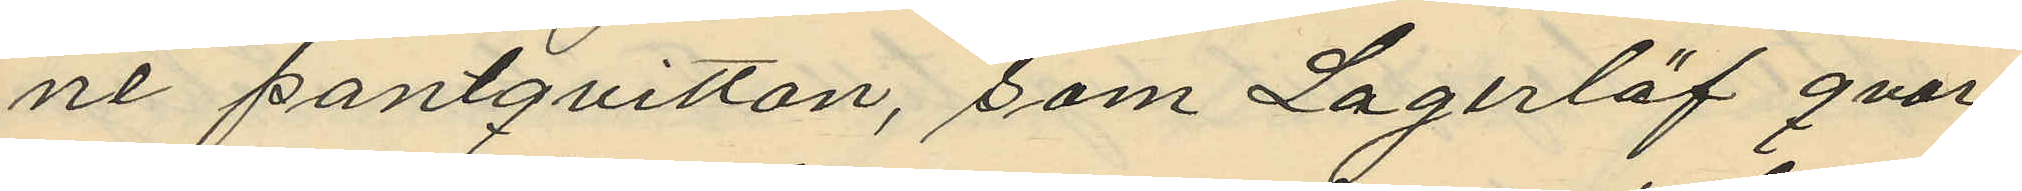ne pantqvitton, som Lagerlöf qvar¬
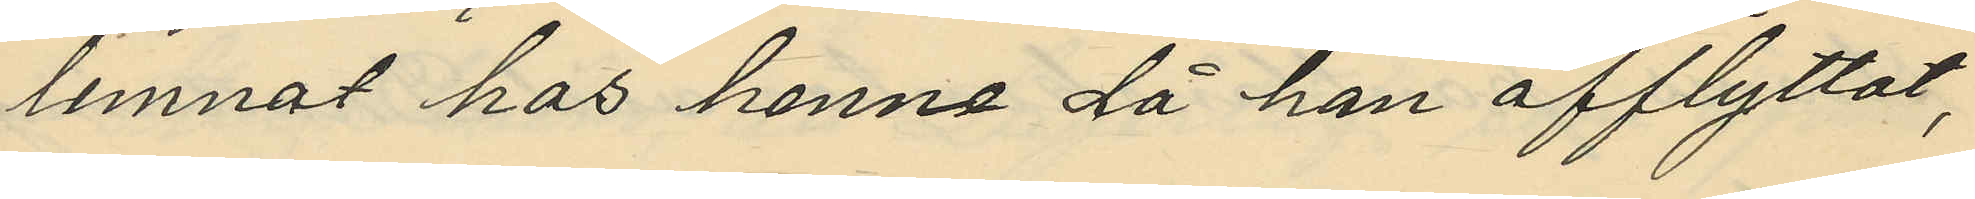lemnat hos henne då han afflyttat,
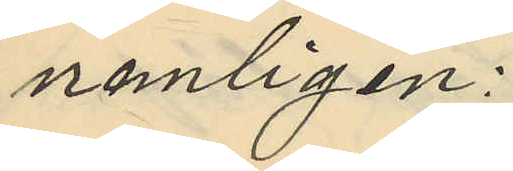nemligen:
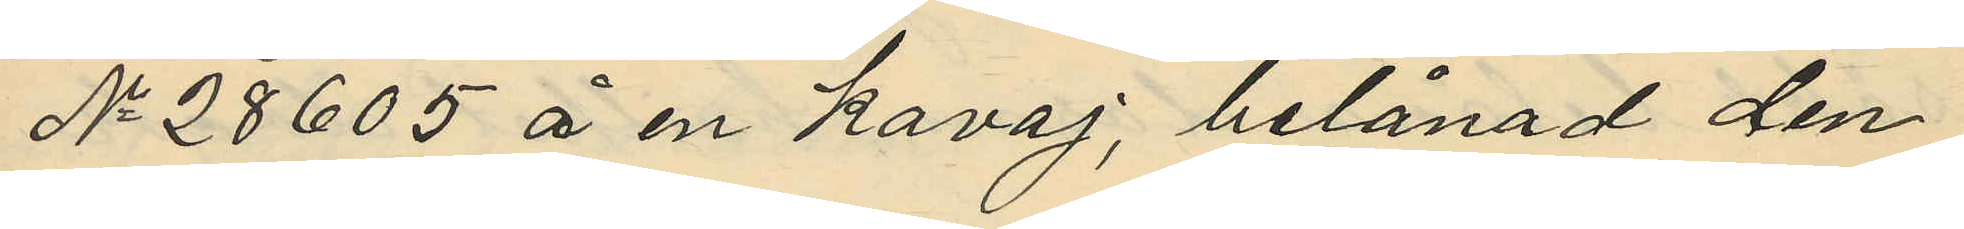No 28605 å en kavaj, belånad den
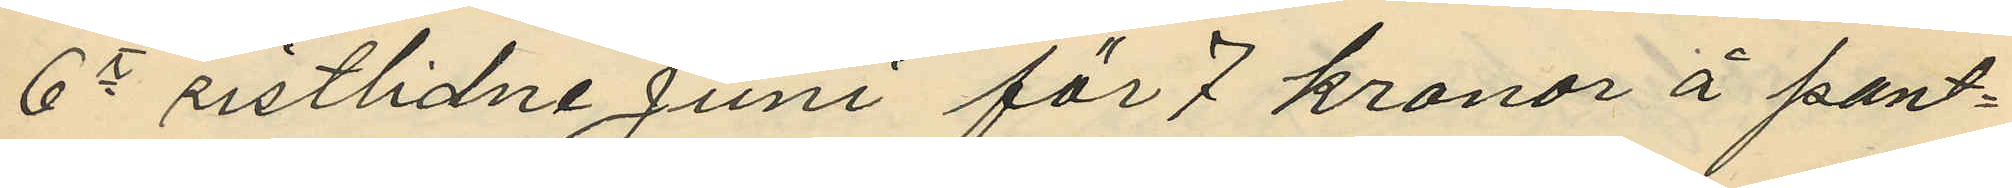6 sistlidne Juni för 7 kronor å pant¬
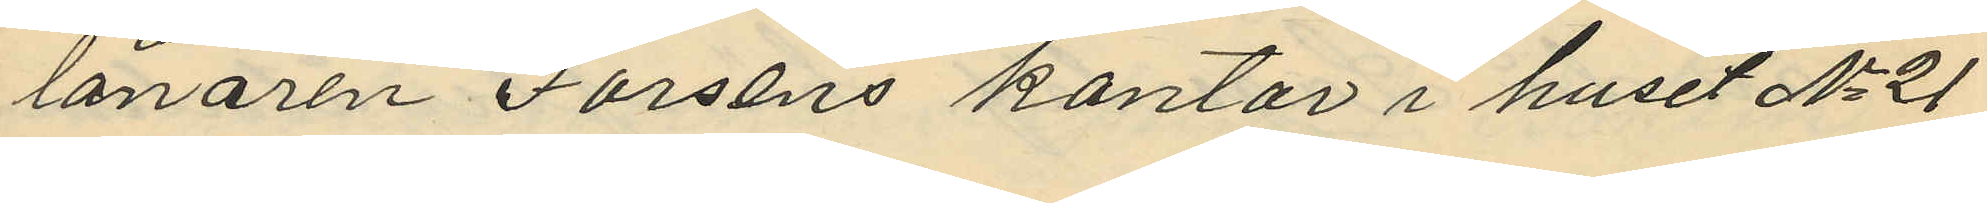lånaren Forséns kontor i huset No 21
